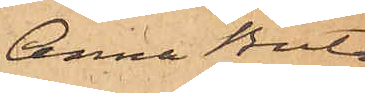Anna Brita
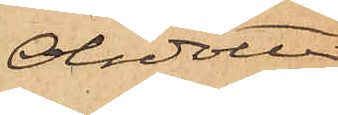Olsdotter.
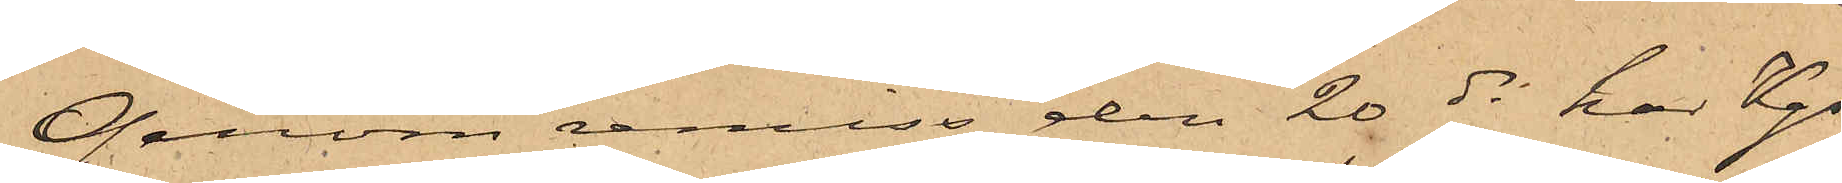Genom remiss den 20 ds har Kgs
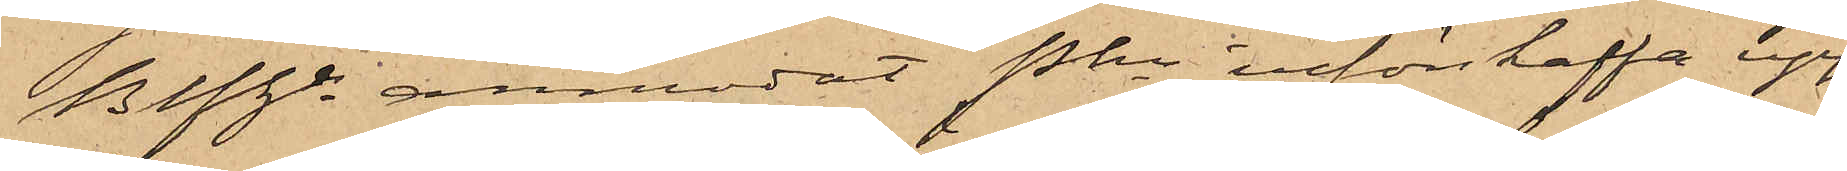Befhde anmodat Pkn införskaffa upp¬
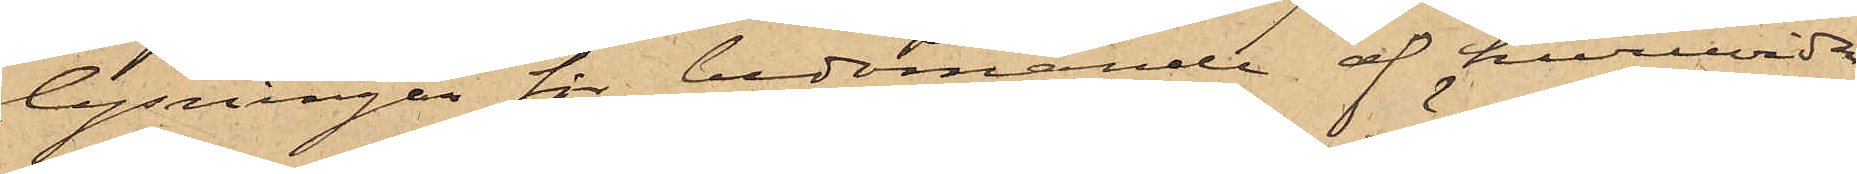lysningar för bedömande af huruvida
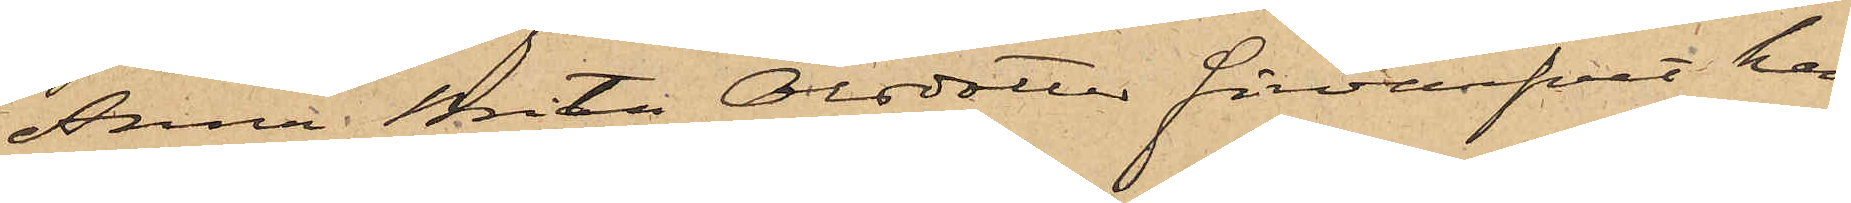Anna Brita Olsdotter förvärfvat hem¬
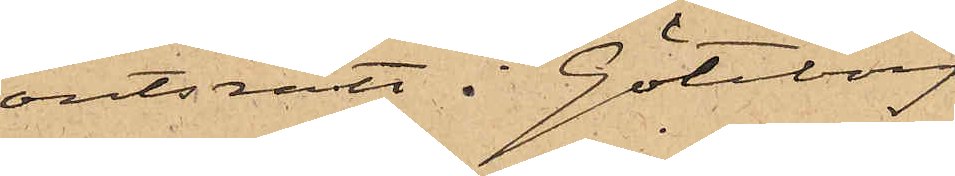ortsrätt i Göteborg
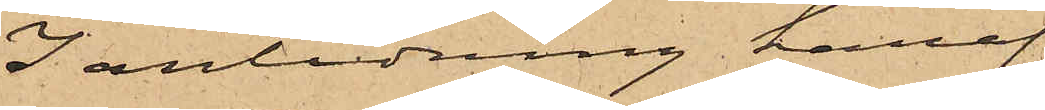I anledning häraf
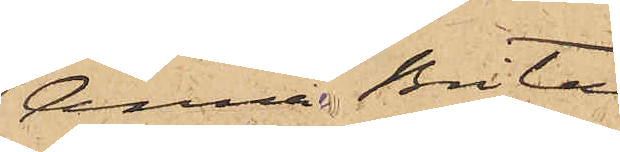Anna Brita
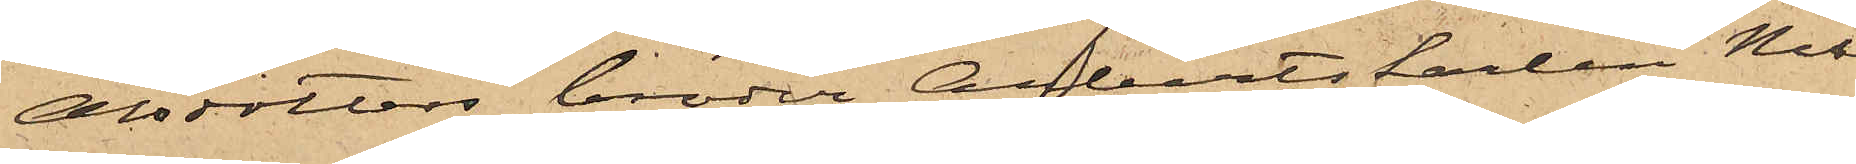Olsdotters broder Arbetskarlen Nils
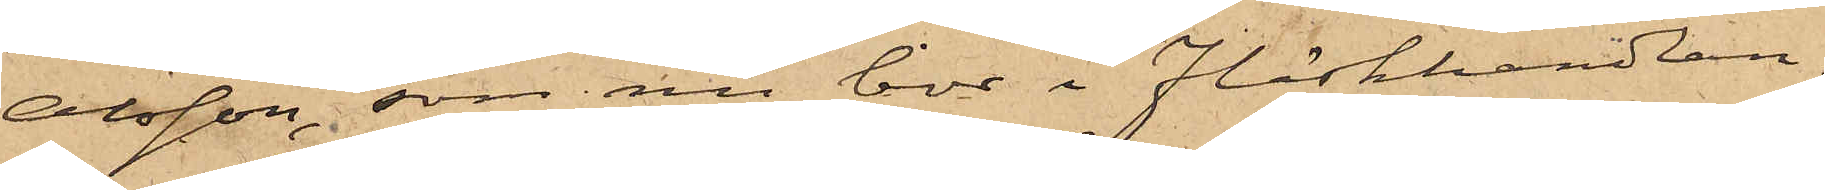Olsson, som nu bor i Fläskhandlan¬
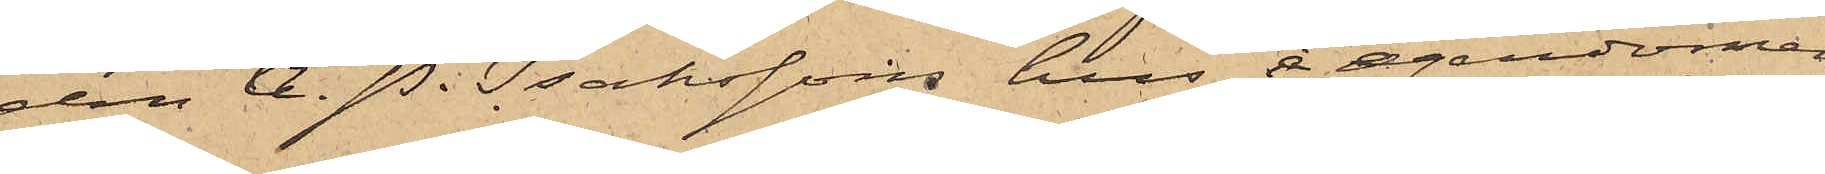den A. P. Isakssons hus å egendomen
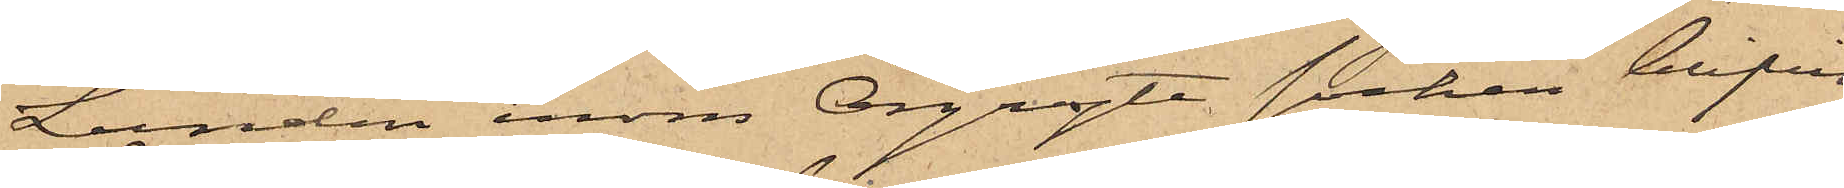Lunden inom Örgryte socken blifvit
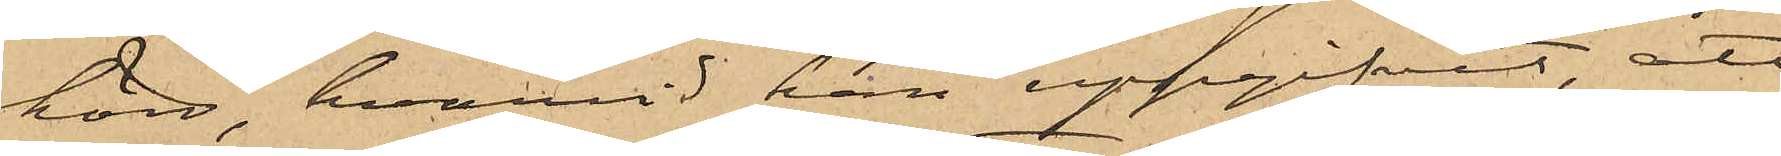hörd, hvarvid han uppgifvit, att
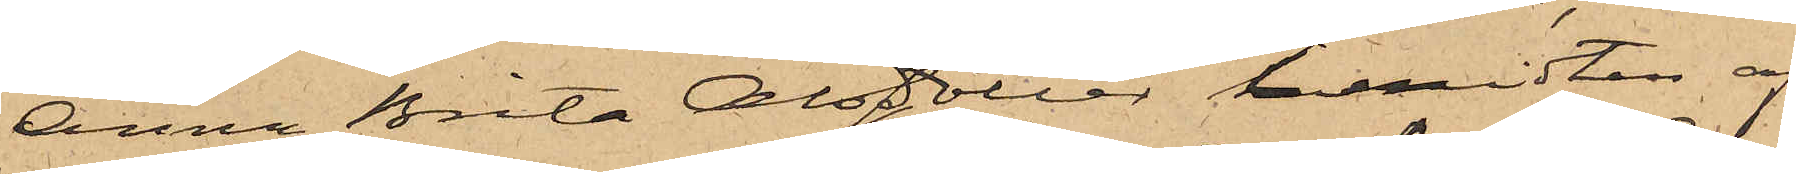Anna Brita Olsdotter, i midten af
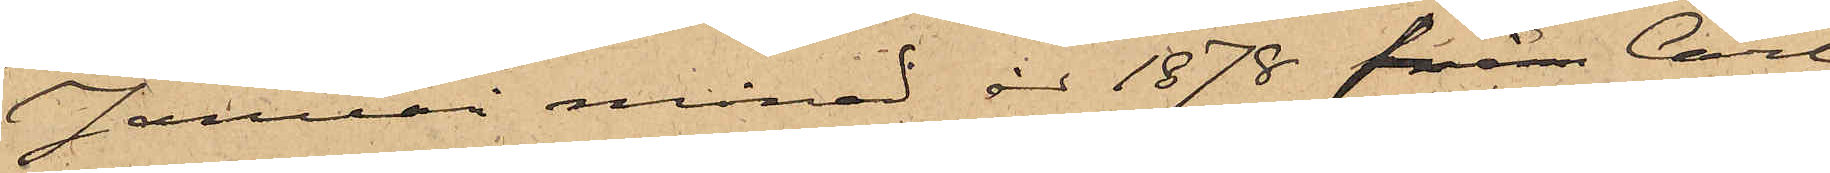Januari månad år 1878 från Carl
